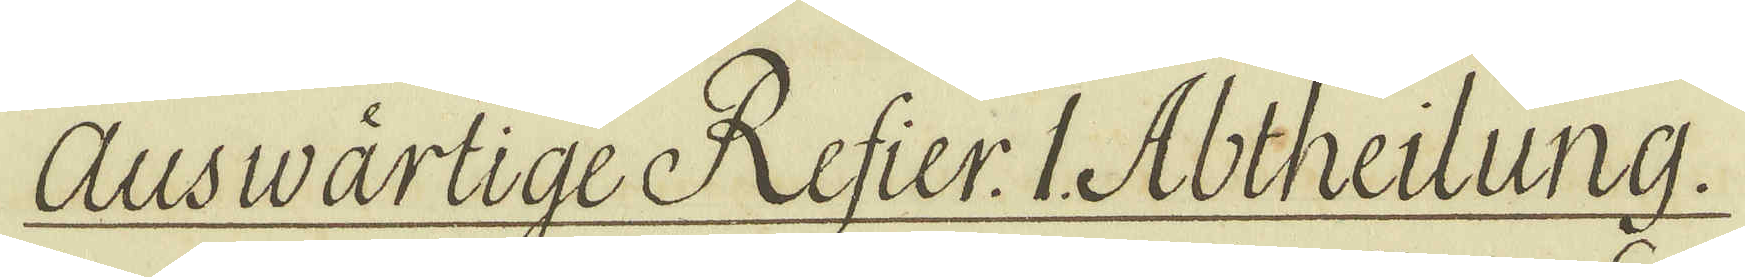Ausvärtige Refier. I. Abtheilung.
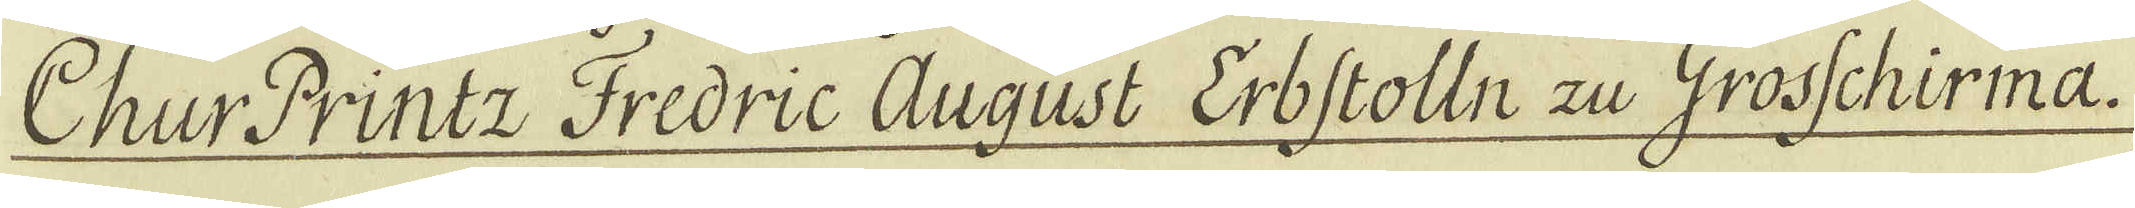Chur Printz Fredric August Erbstolln Zu Grosschirma.
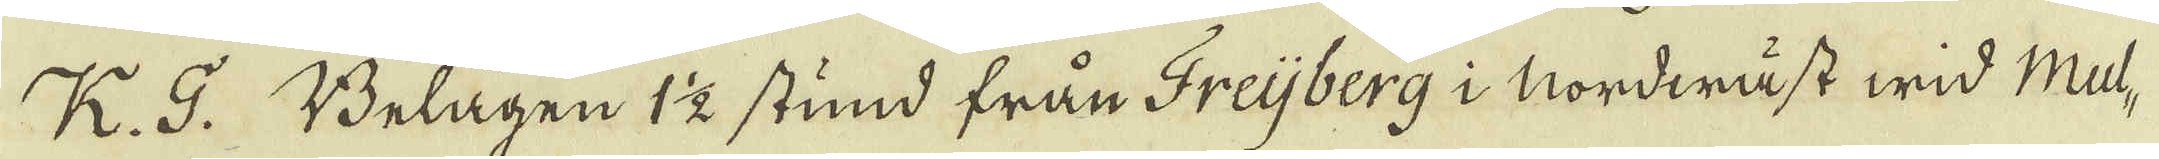K. G. Belägen 1 1/2 stund från Freijberg i Nordwäst wid Mul-
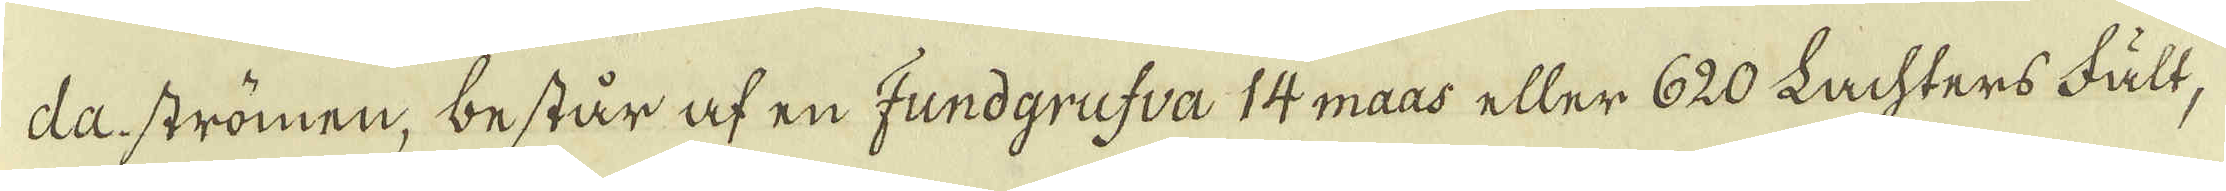da strömen, består af en Fundgrufva 14 maas eller 620 Lachters Fält,
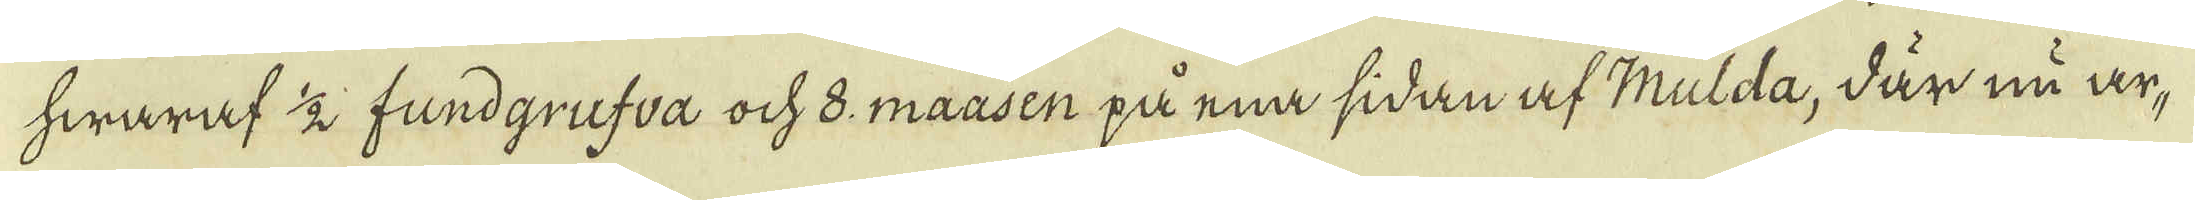hwaraf 1/2 fundgrufva och 8. maasen på ena sidan af Mulda, där nu ar-
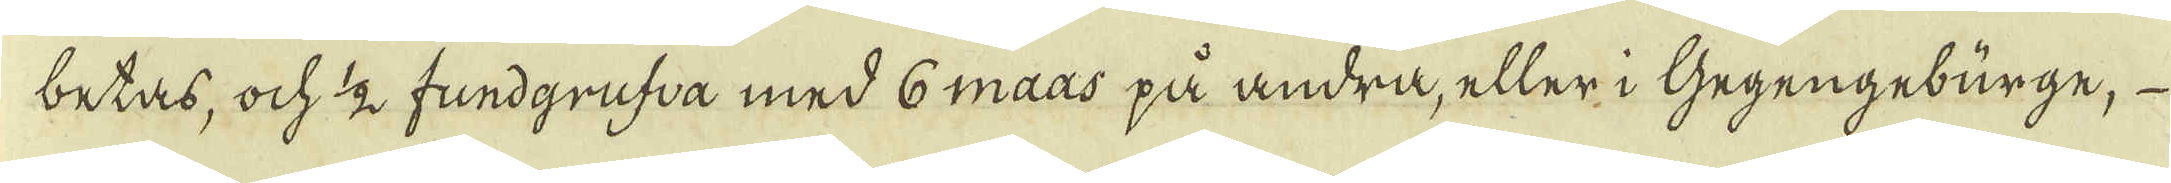betas, ock 1/2 fundgrufva med 6 maas på andra, eller i Gegengeburge,
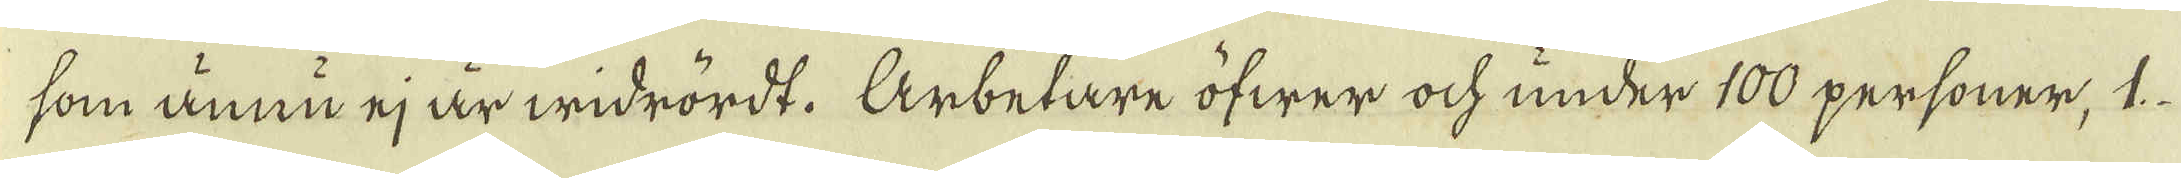som ännu ej är widrördt. Arbetare öfwer ock under 100 personer, 1
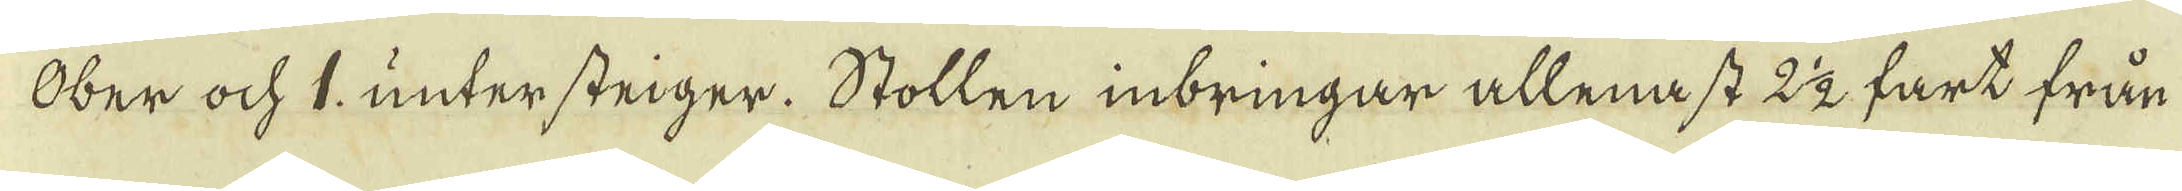Ober och 1. untersteiger. Stollen inbringar allenast 2 1/2 fart från
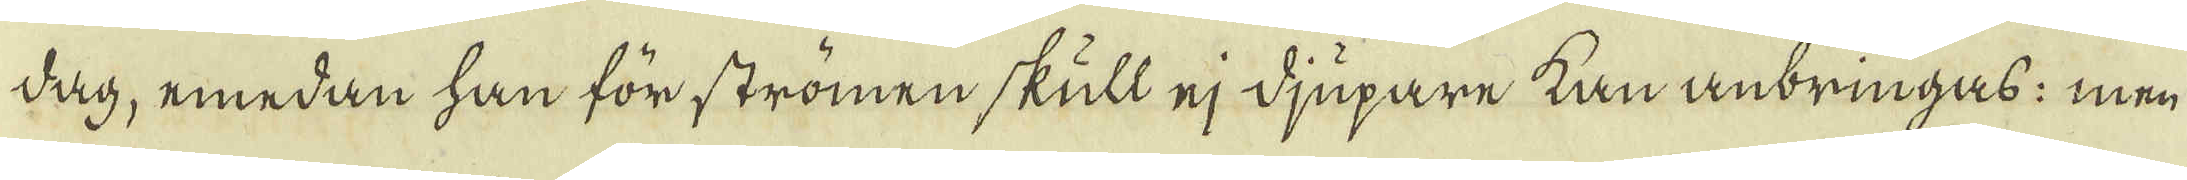dag, emedan han för strömen skull ej djupare kan anbringas: men
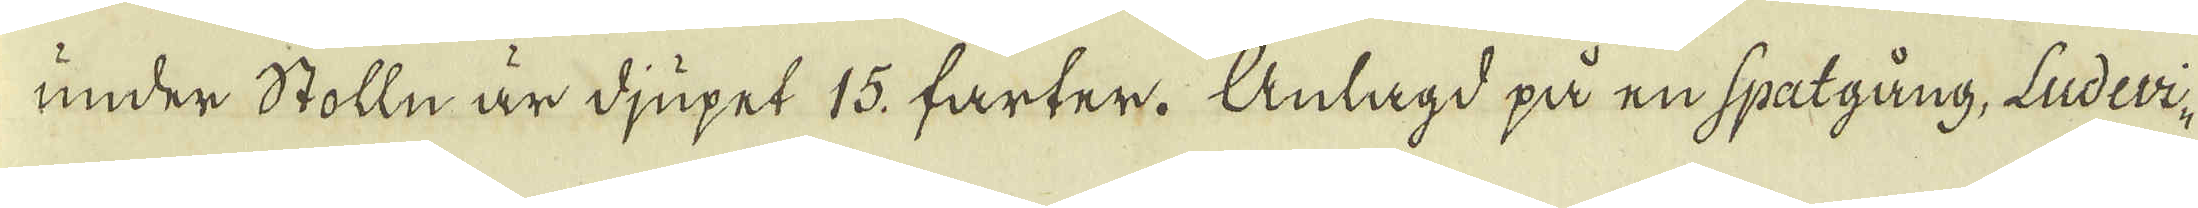under Stolln är djupet 15. farter. Anlagd på en spatgång, Ludevi-
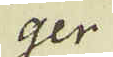ger
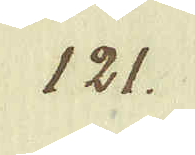121.
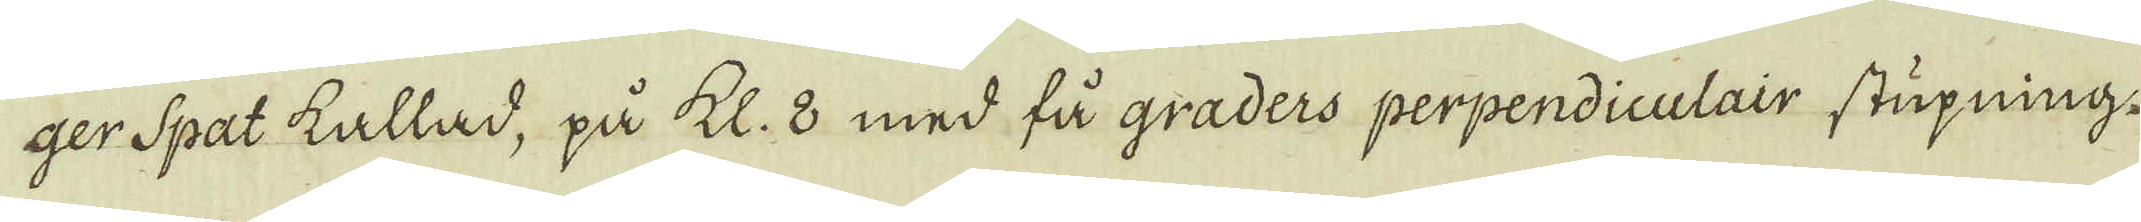ger Spat kallad, på kl. 8 med få graders perpendiculair stupning.
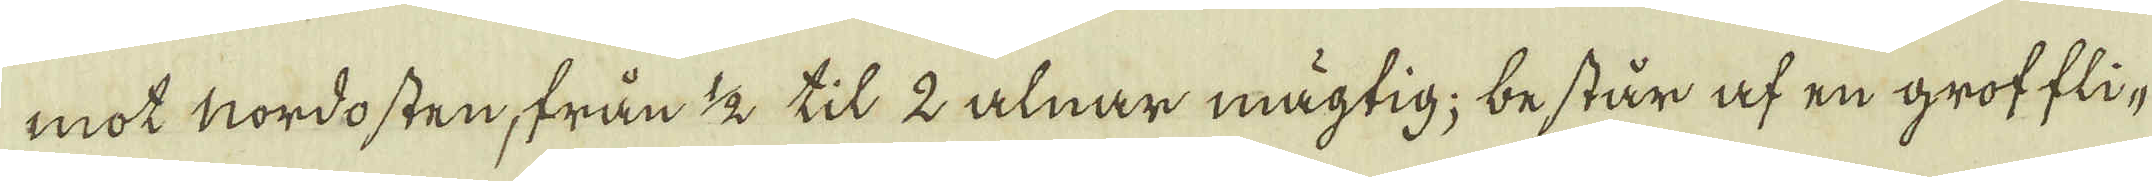mot nordosten, från 1/2 til 2 alnar mägtig; består af en groffli-
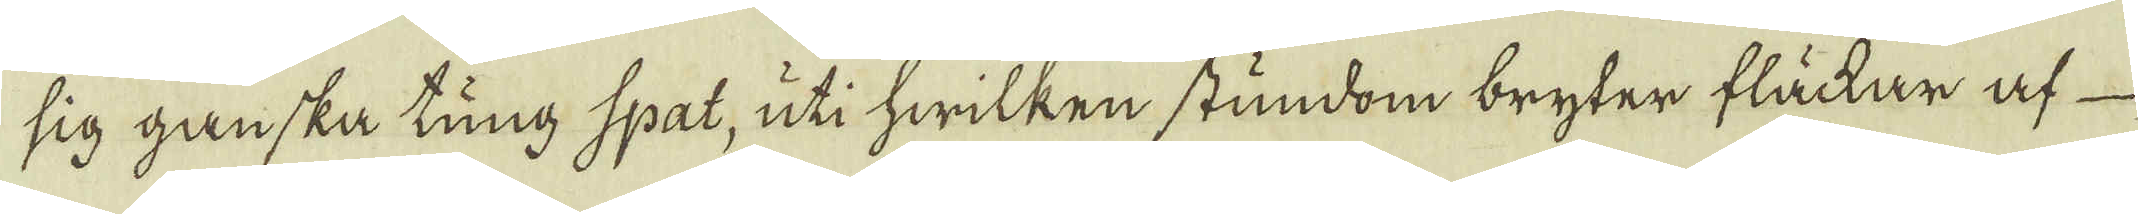sig ganska tung spat, uti hwilken stundom bryter fläckar af
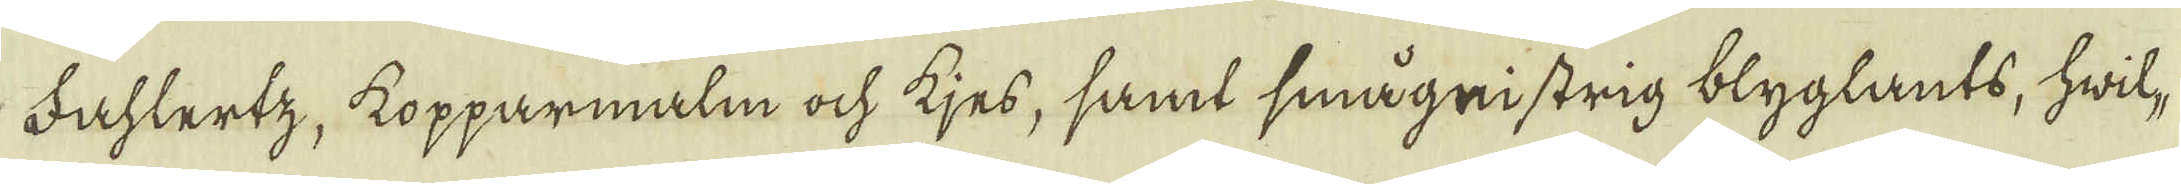Fahlertz, kopparmalm ock kjes, samt smågnistrig blyglants, hwil-
